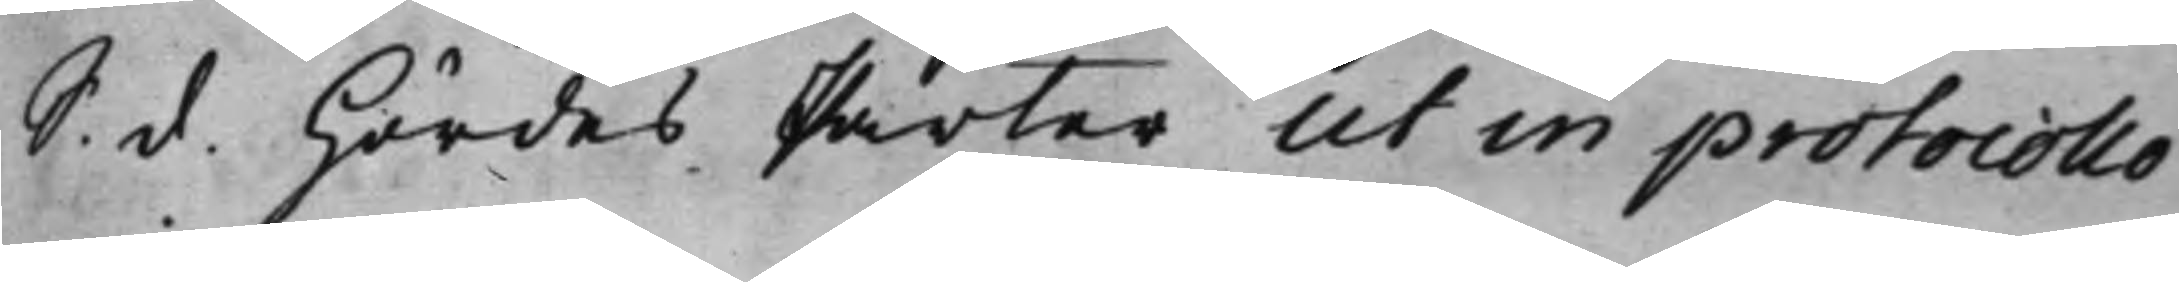S. d Hördes Parter ut in protocollo
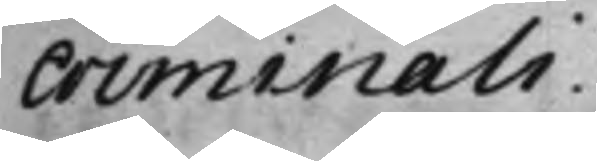criminali.
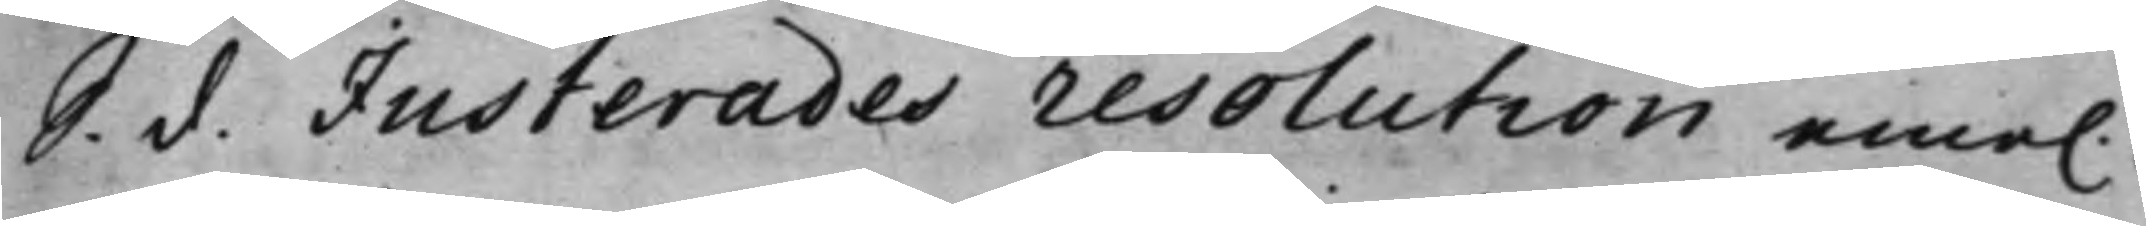S. d. Justerades resolution eme.
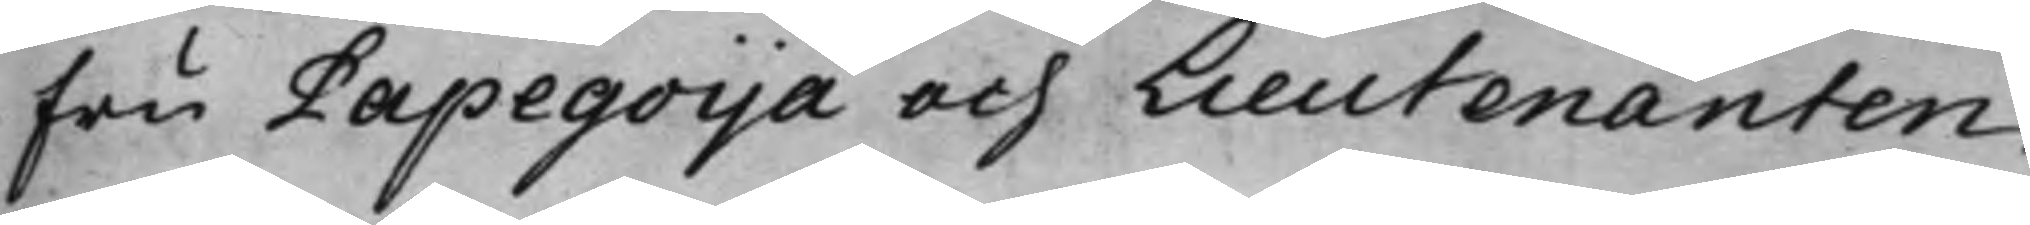fru Papegoija och Lieutenanten
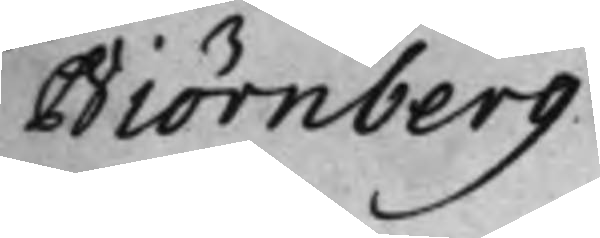Biörnberg.
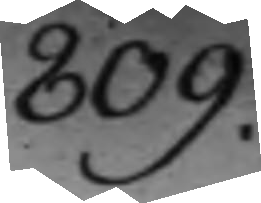809.
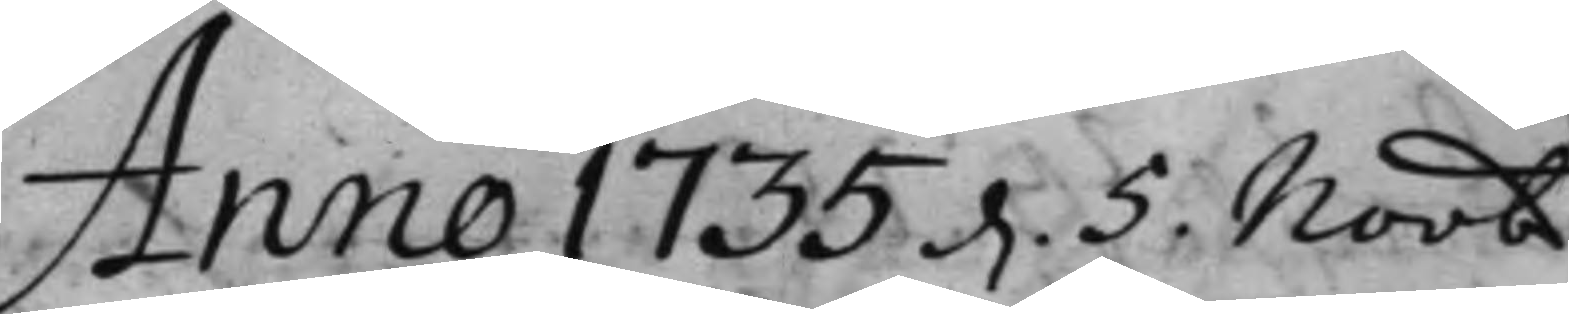Anno 1735 d. 5 Novb
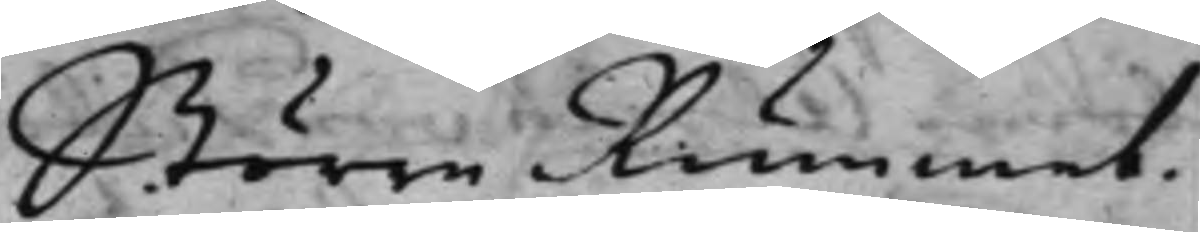Större Rummet.
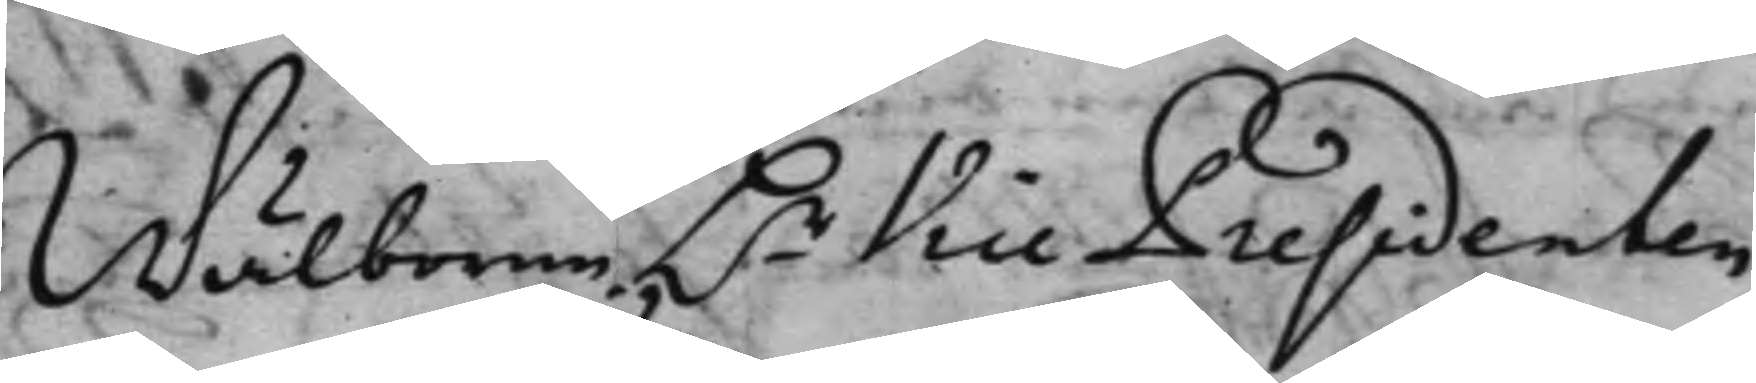Wälborne H.r Vice Presidenten
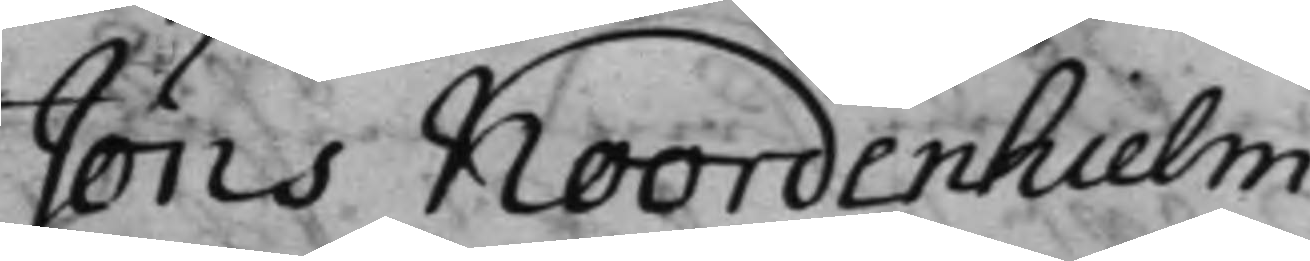Jöns Noordenhielm
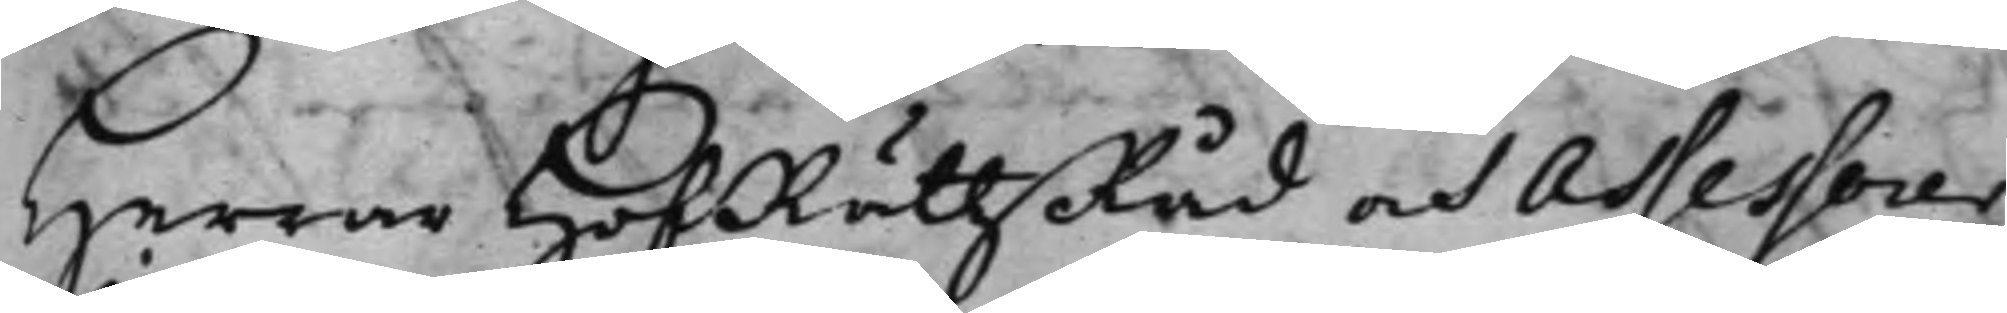Herrar HofRättzRåd och Assessorer
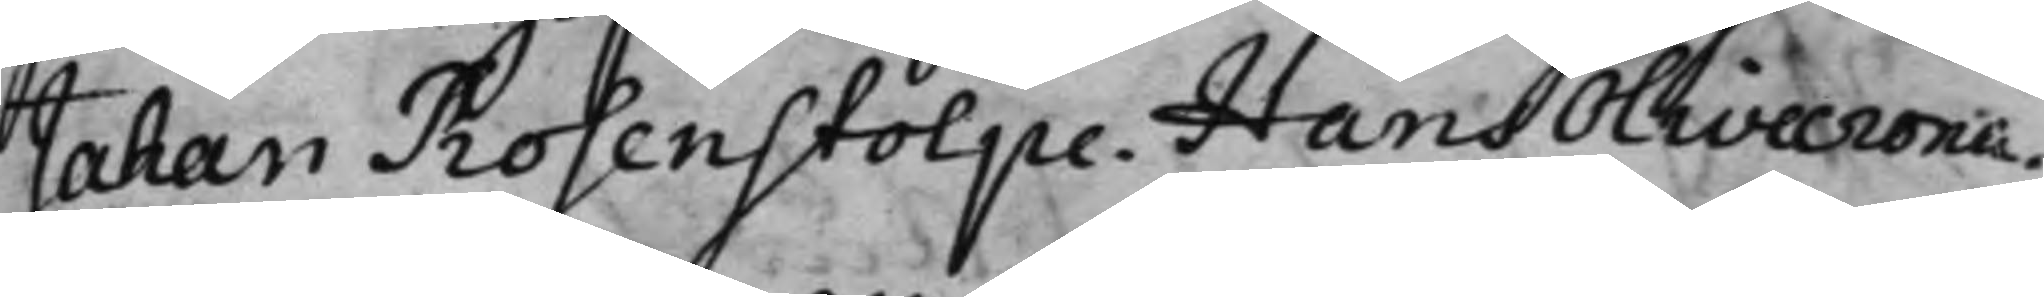Jahan Rosenstolpe. Hans Olivecrona.
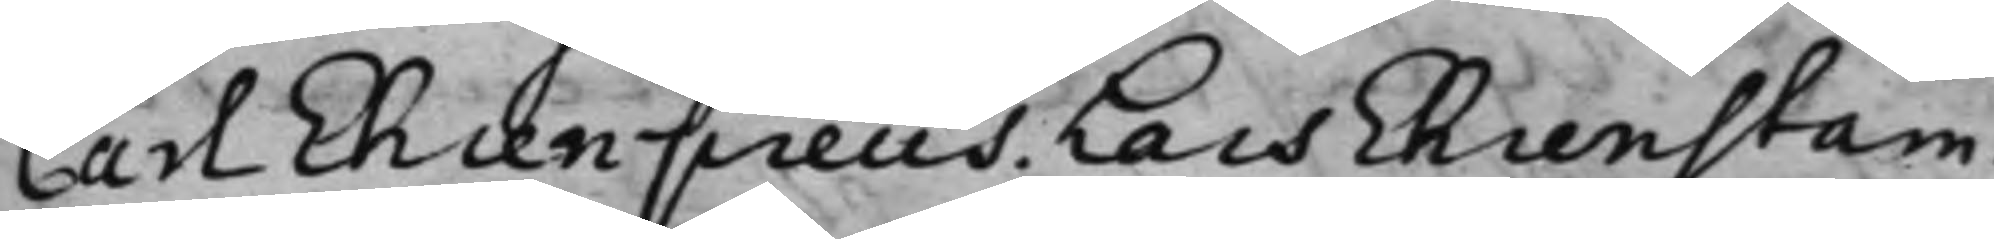Carl Ehrenpreus. Lars Ehrenstam.
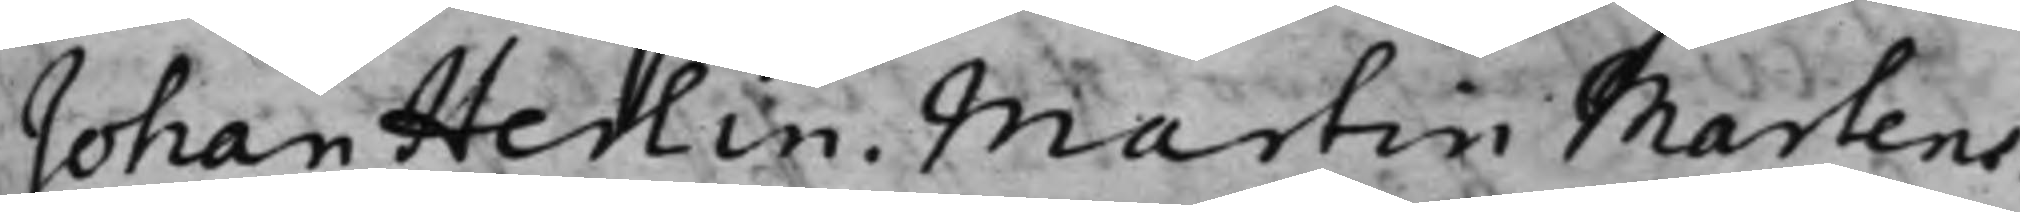Johan Herlin. Martin Martens.
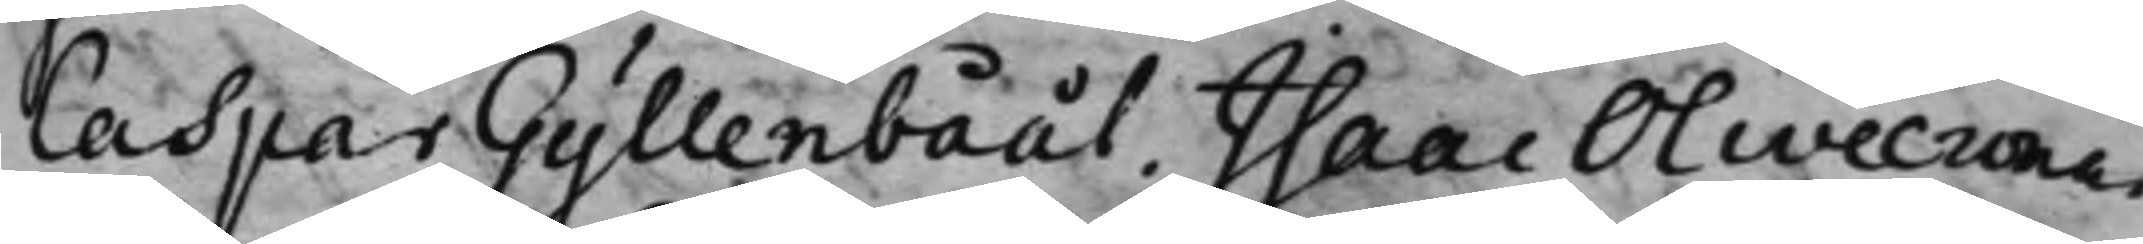Caspar Gyllenbååt. Isaac Olivecrona.
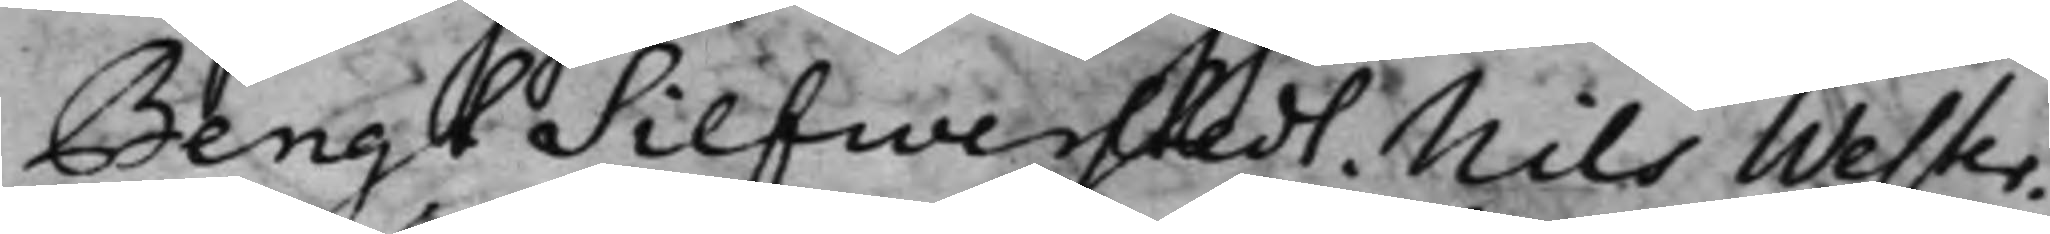Bengt Silfwerstedt, Nils Wester.
